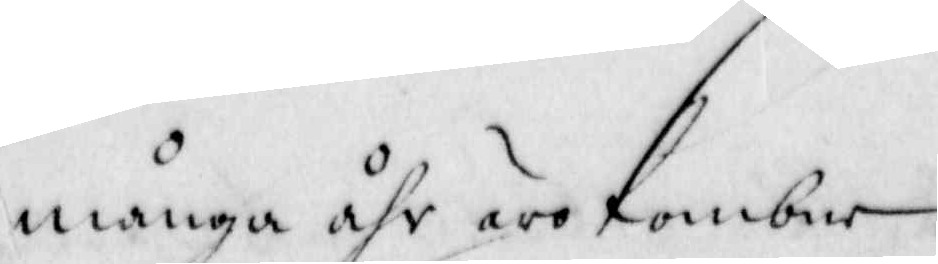många åhr äro kombne.
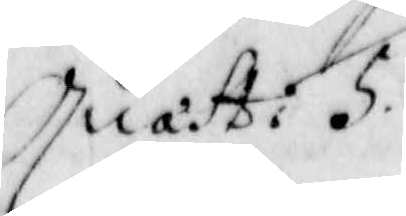Quast; 5
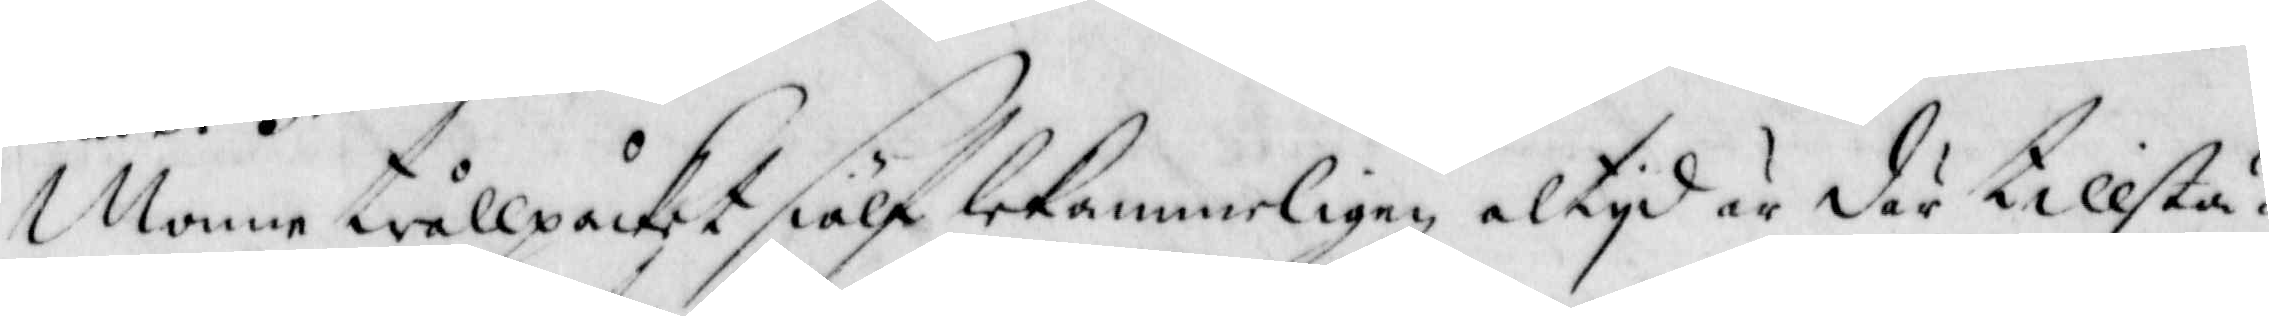Monne trållpåcket sielf lekammerligen altyd är där tillstä¬
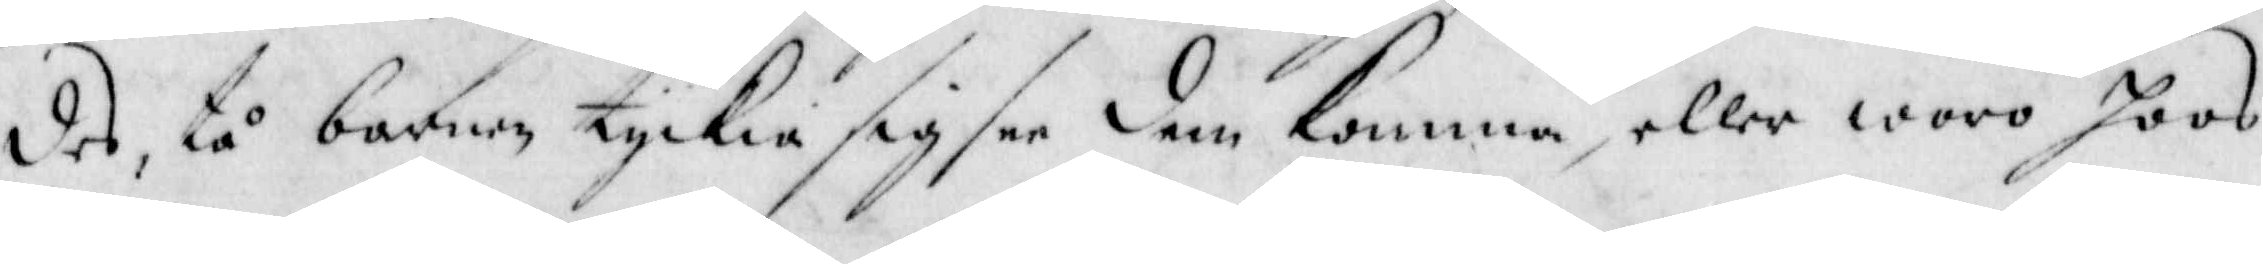des, tå barnen tyckia sig see dem komma, eller woro hoos
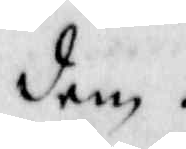dem.
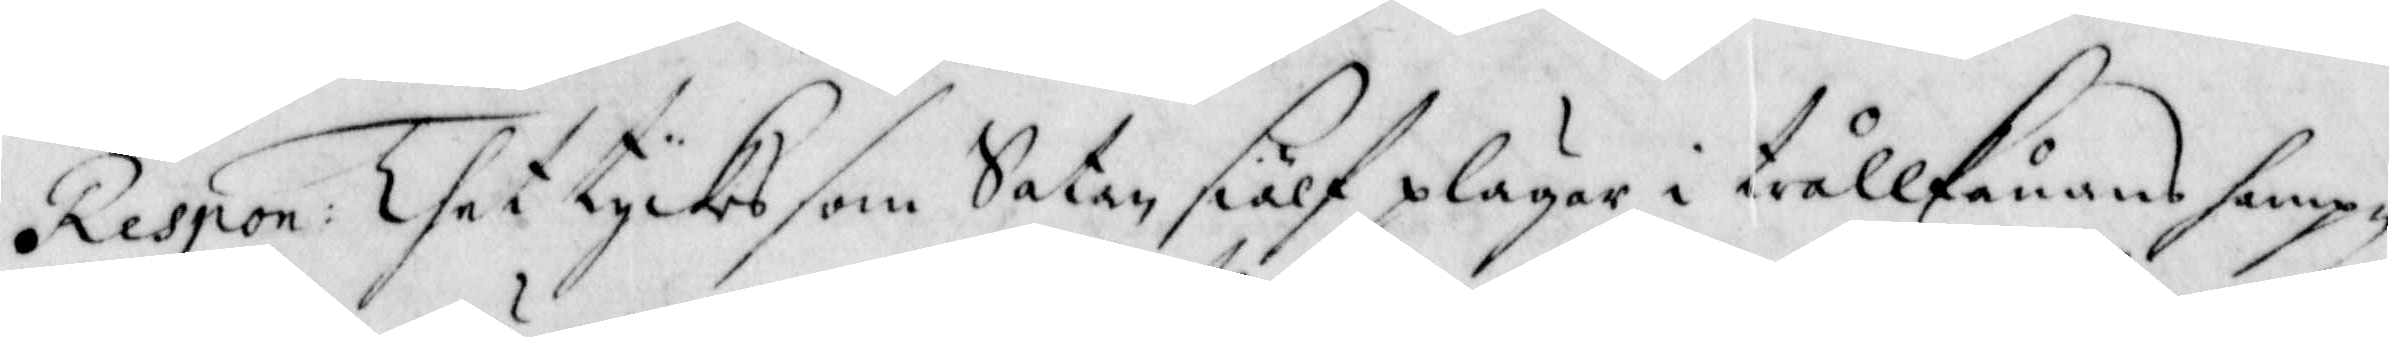Respon: Thet tyckes som Satan siälf plägar i trållkånans hampn
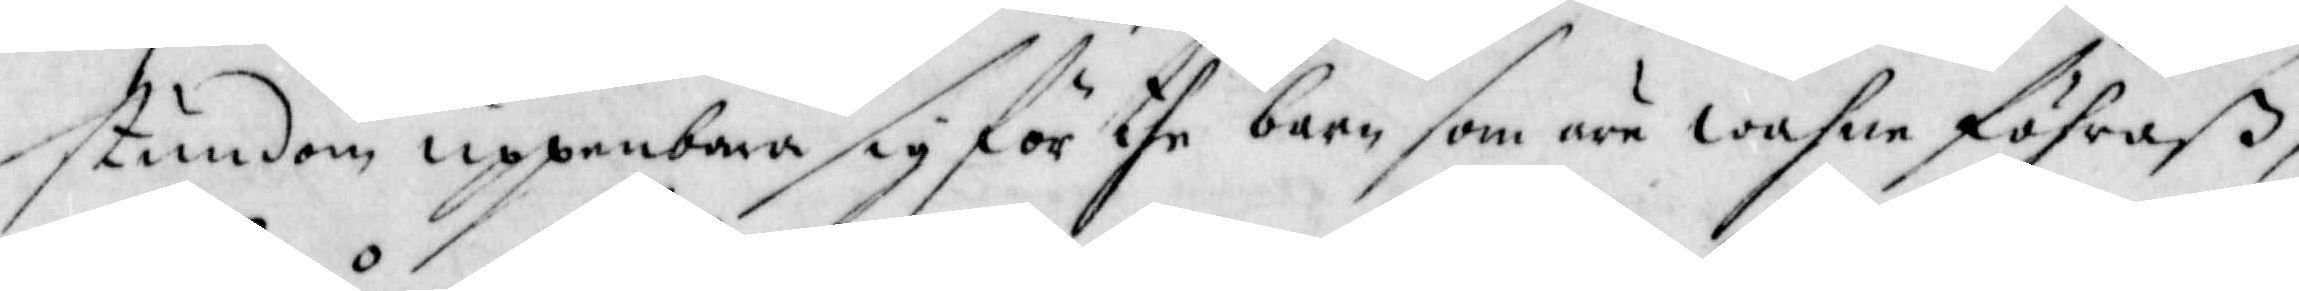stundom uppenbara sig för the barn som äre wahne föhraß,
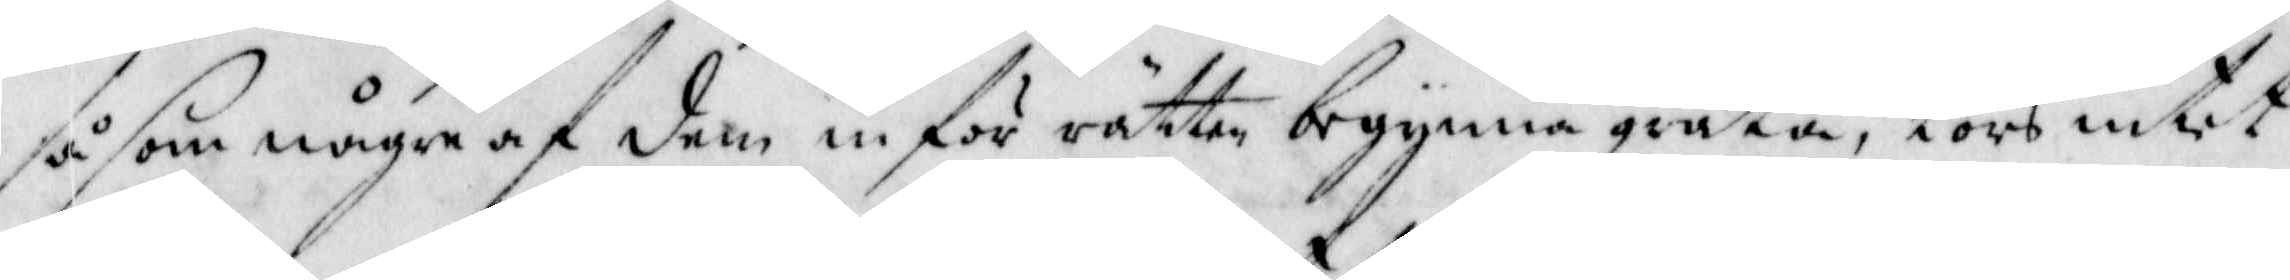så som någre af dem inför rätten begynna gråta, tors intet
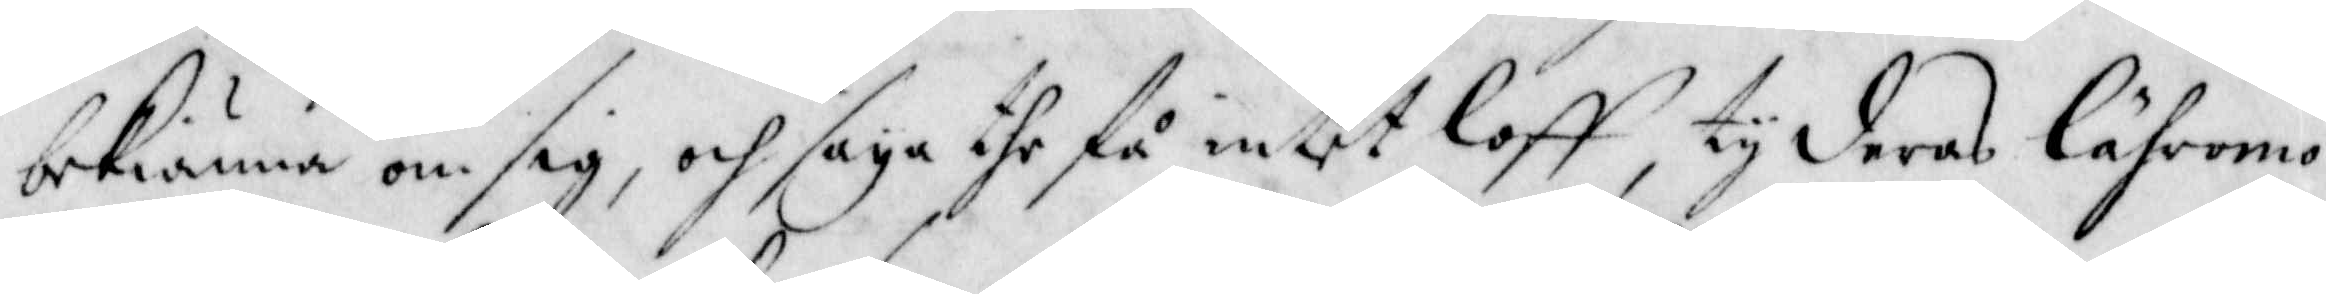bekiänna om sig, och säya the få intet loff, ty deras lähromo¬
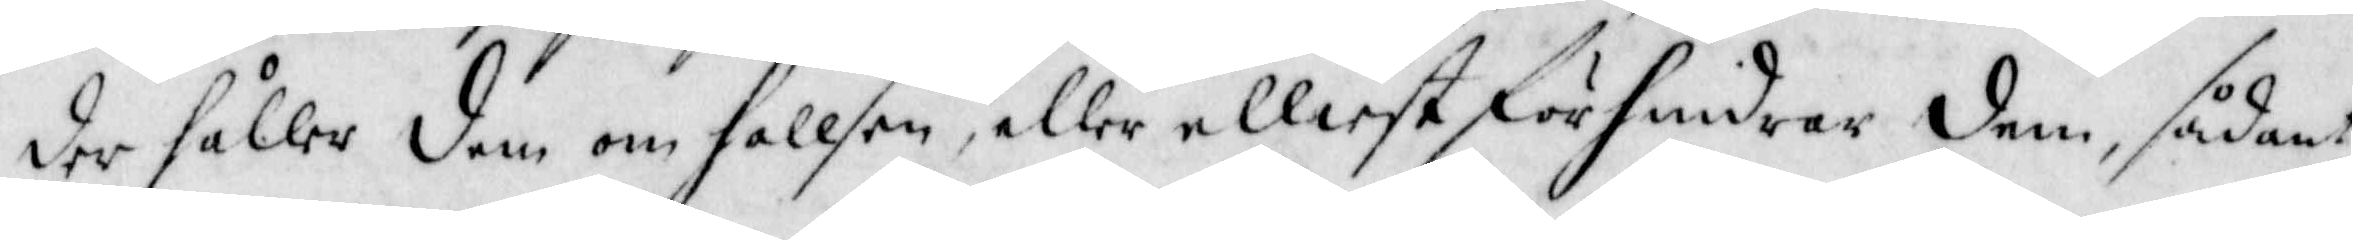der håller dem om hallsen, eller elliest förhindrar dem, sådant
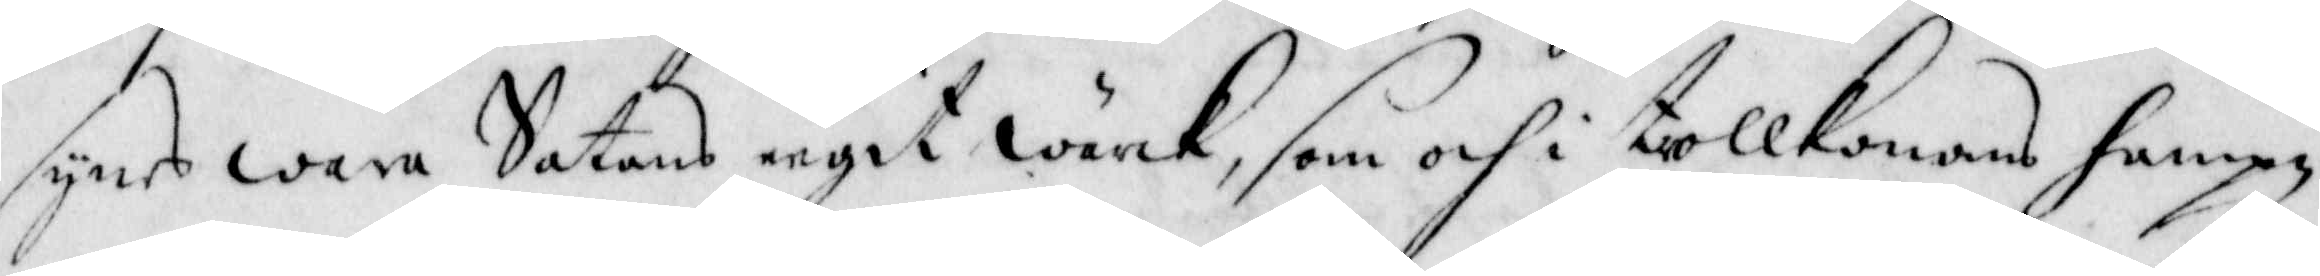synes wara Satans eegit wärck, som och i trollkonans hampn,
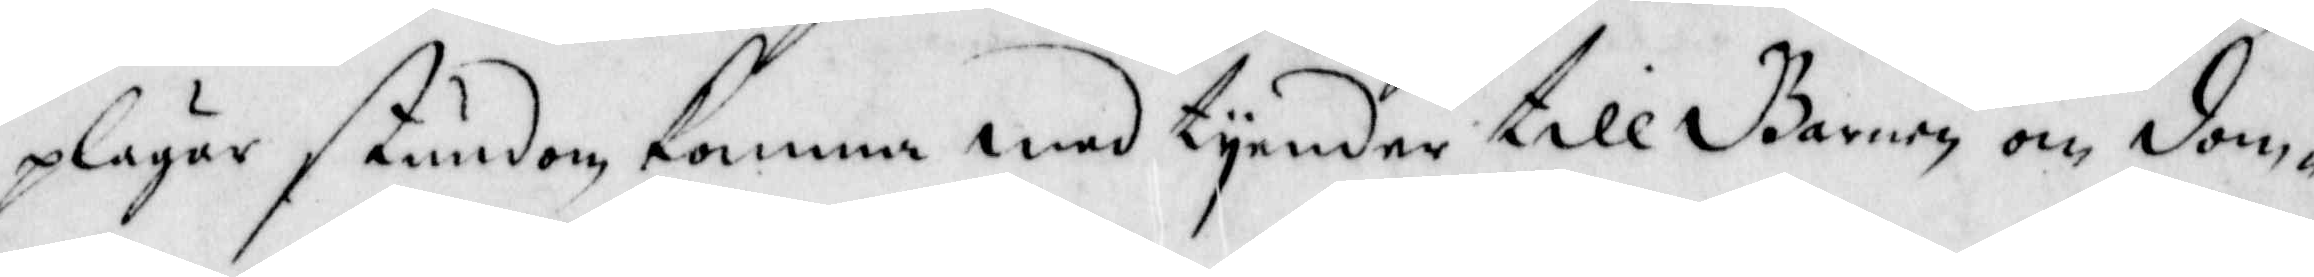plägar stundom komma med tyender till barnen och dom¬
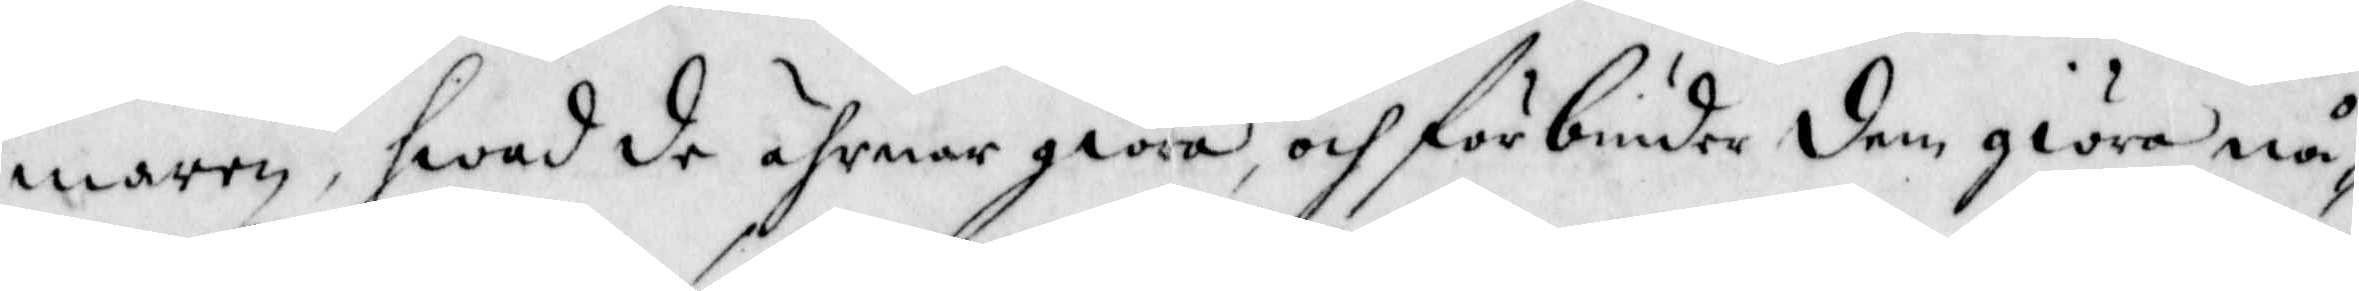maren, hwad de ährnar giöra, och förbinder dem giöra nå¬
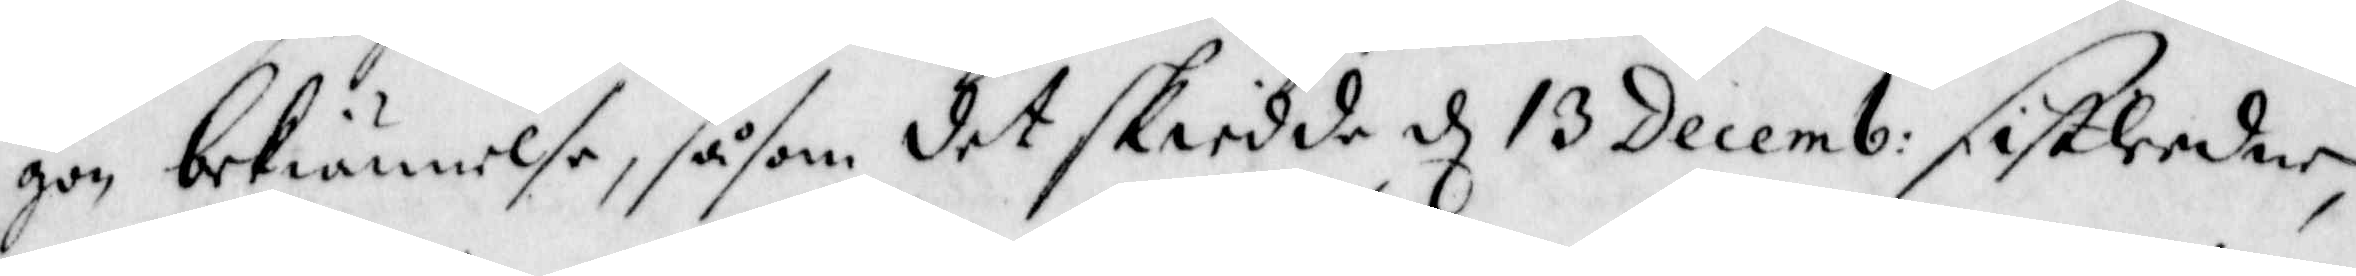gon bekiännelse, såsom det skeidde d 13 Decemb: sistleedne
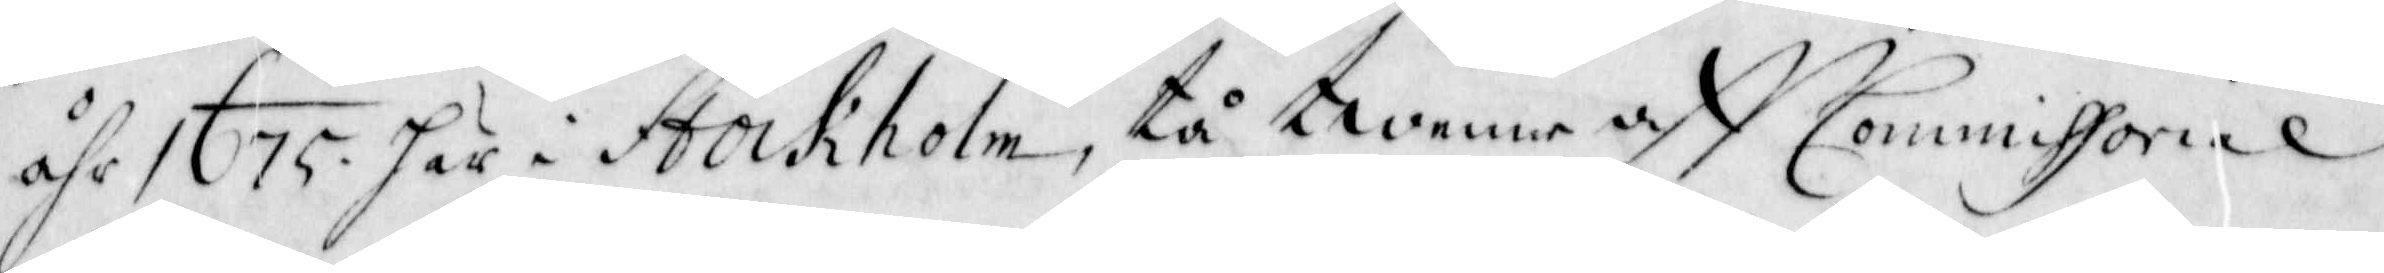åhr 1675 här i Stockholm, tå twenne aff Commissorial
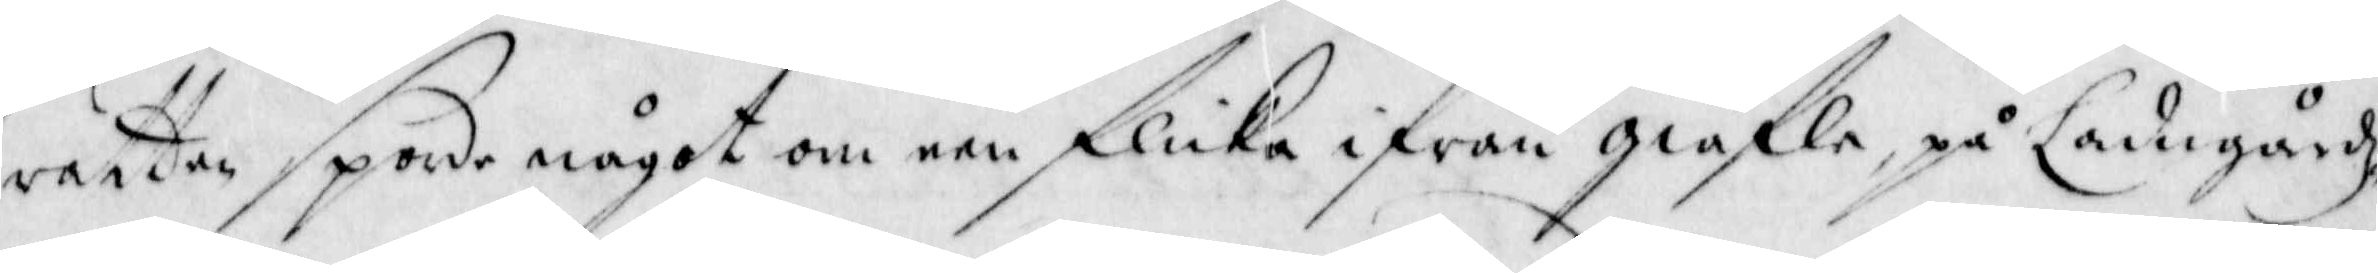rätten sporde något om een flicka ifrån Giäfle, på Ladugårdz¬
